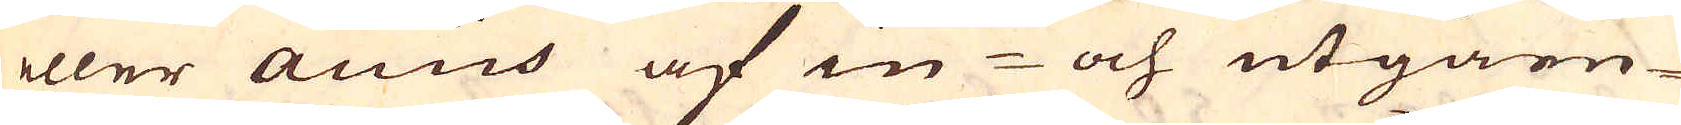eller accis af in- och utgåen-
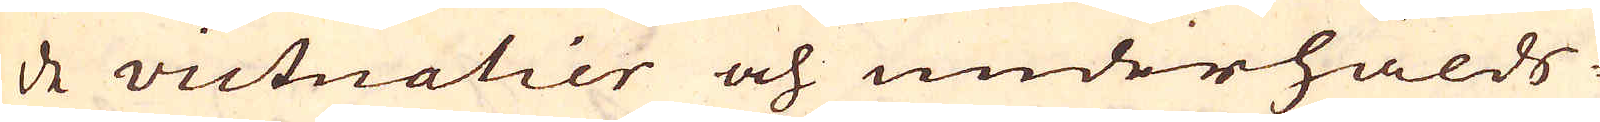de victualier och underhålds-
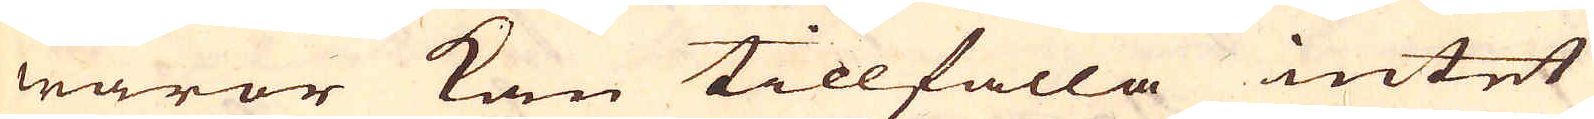waror kan tillfalla intet
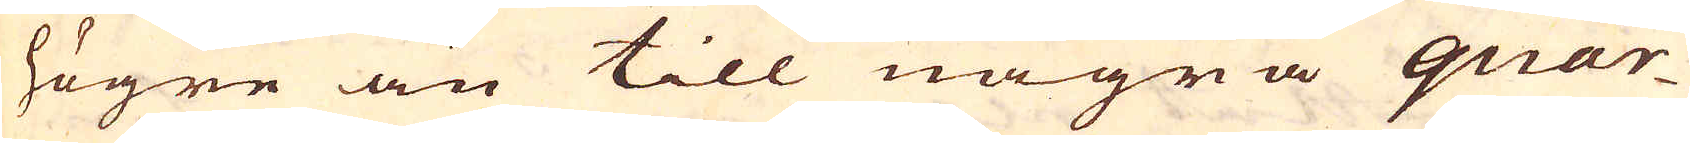högre än till några quar-
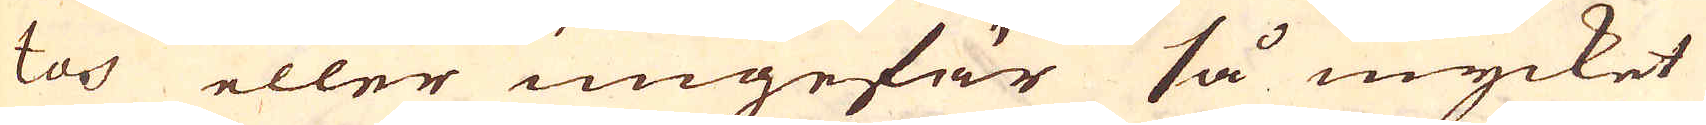tos eller ungefär så mycket
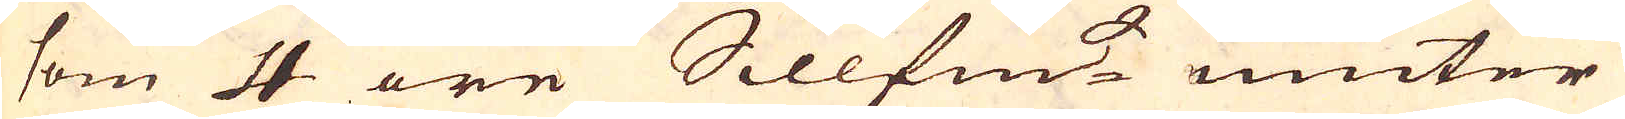som 4 öre Sillfm:t niuter
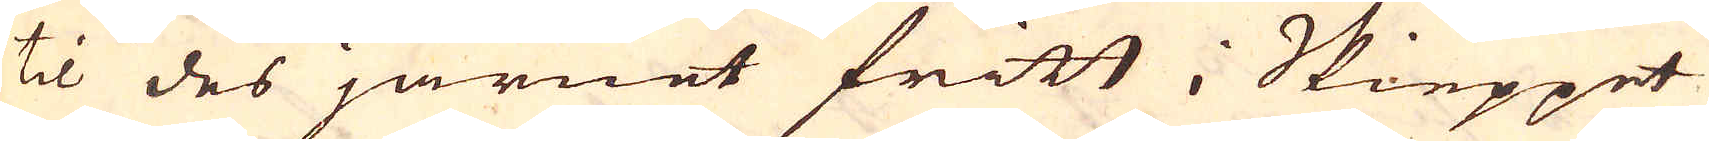til des järnet fritt i Skieppet
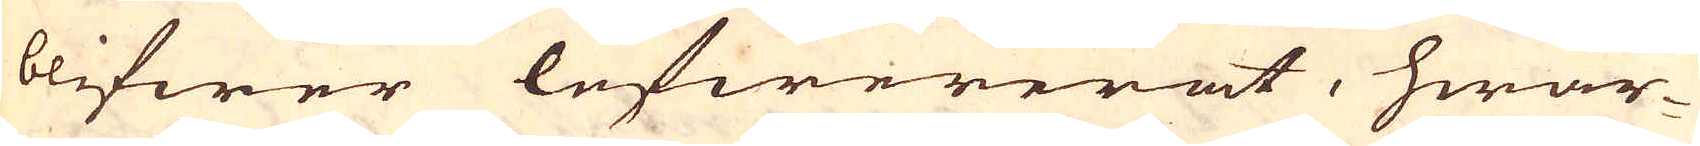blifwer lefwererat, hwar-
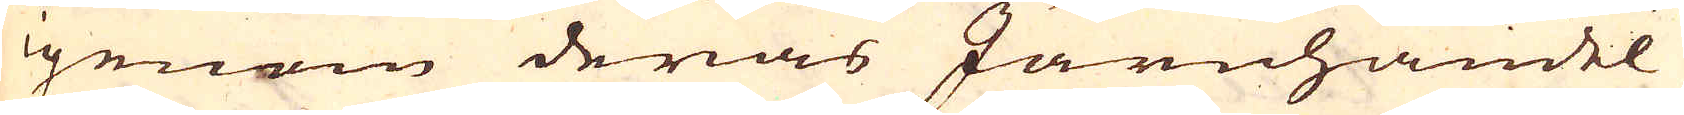igenom deras Järnhandel
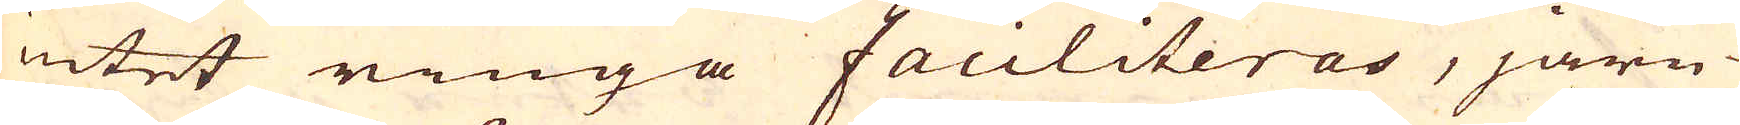intet ringa faciliteras, järn-
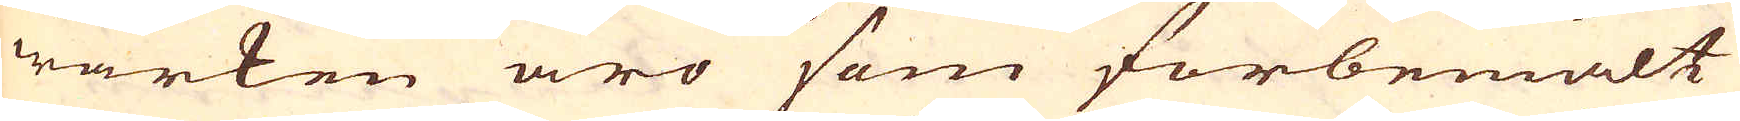wärken äro som förbemält
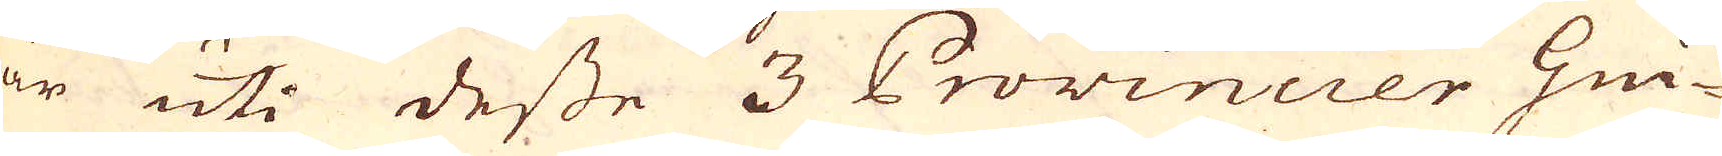är uti desse 3 Provincier Gui-
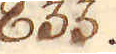833.
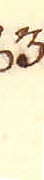834.
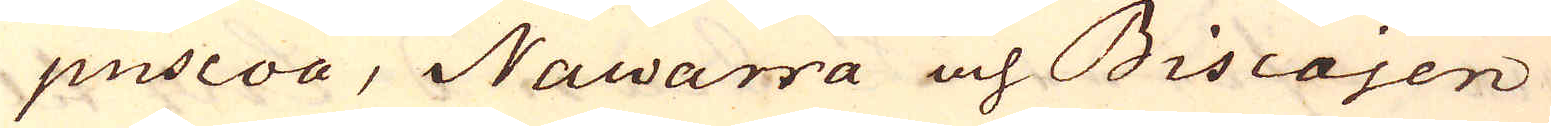puscoa, Nawarra och Biscajen
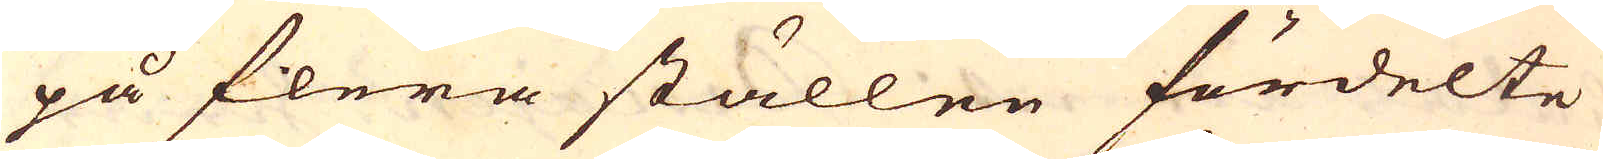på flera ställen fördelte
